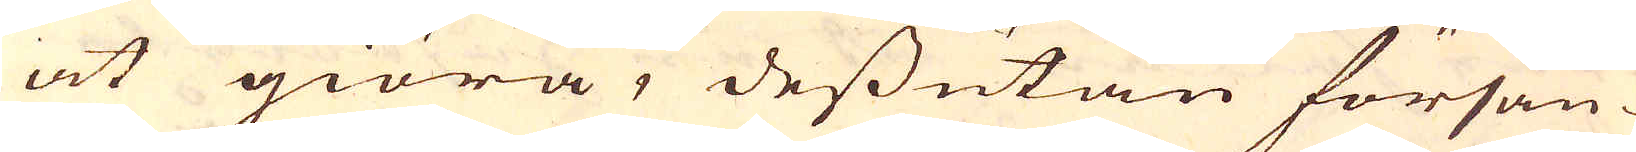at giöra, dessutan försän-
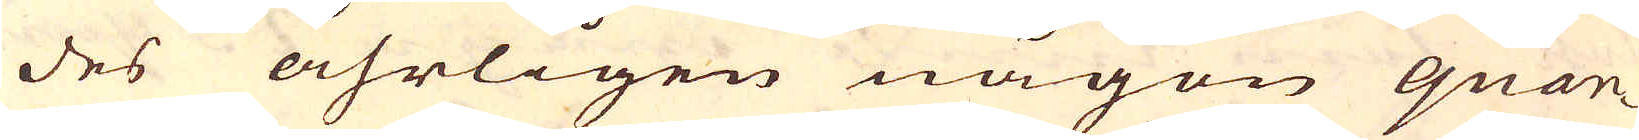des åhrligen någon quan-
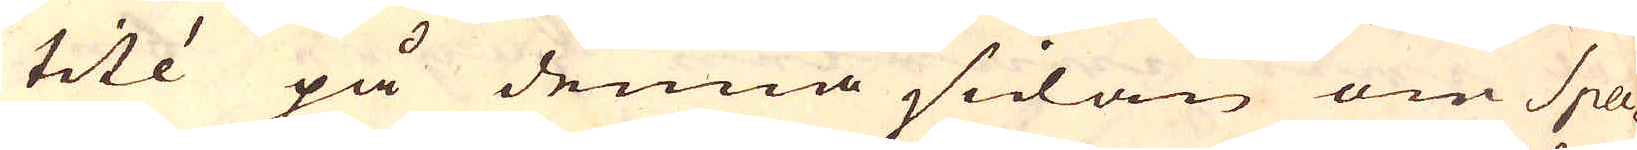tité på denna sidan om Spa-
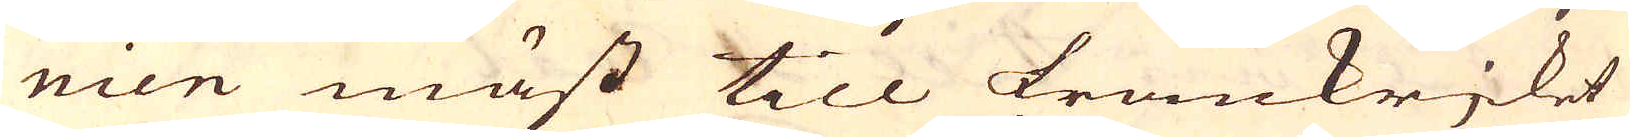nien mäst till Frankrjket
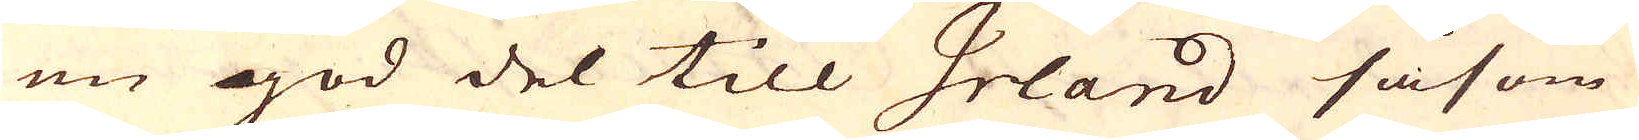en god del till Irland såsom
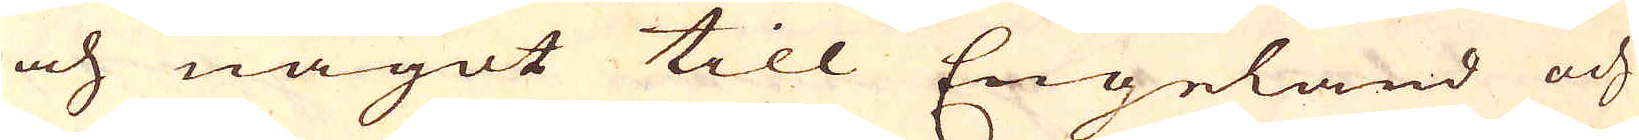och något till Engeland och
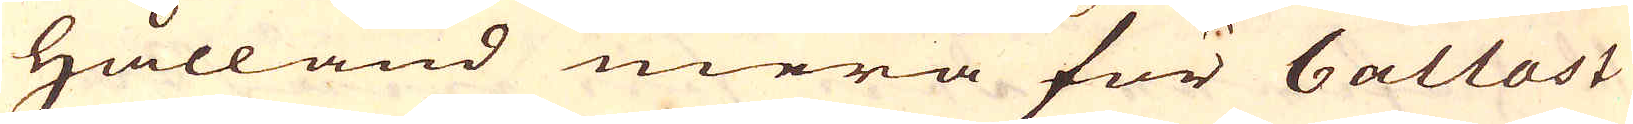Hålland mera för ballast
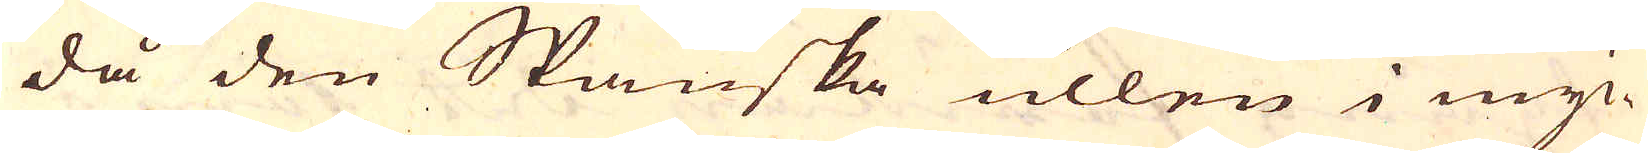då den Spanska ullen i myc-
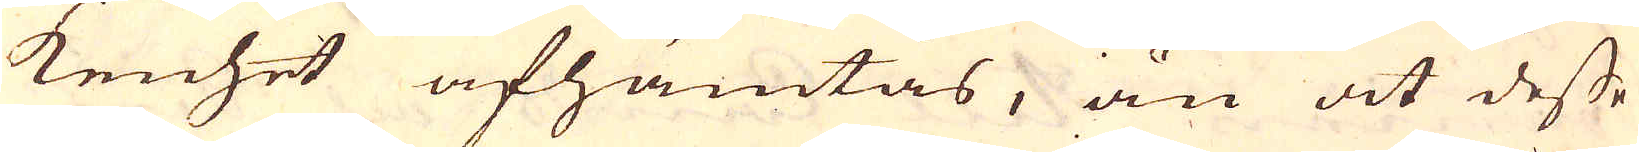kenhet afhämtas, än at desse
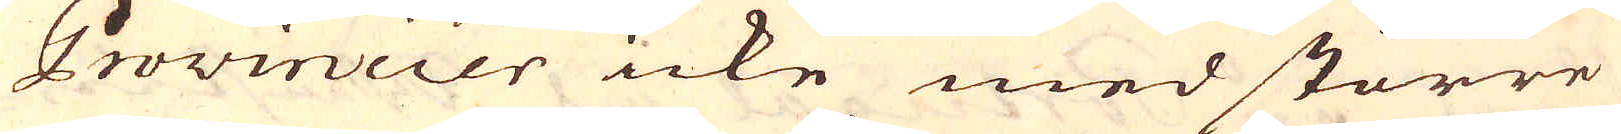Provincier icke med större
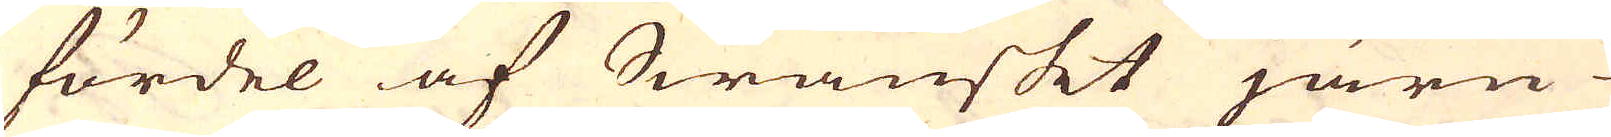fördel af Swänskt järn
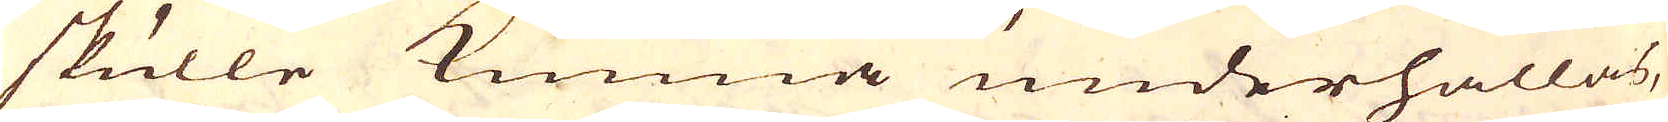skulle kunna underhållas,
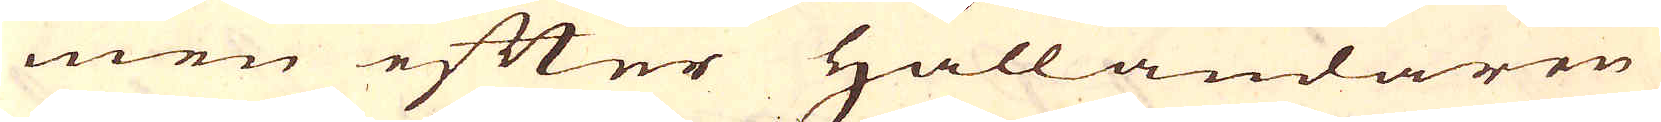men efter Hålländaren
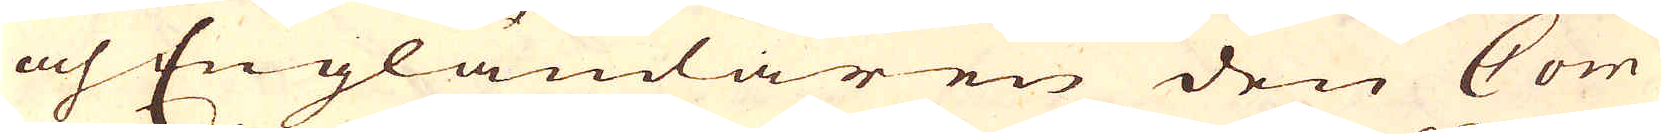och Engländaren den Com-
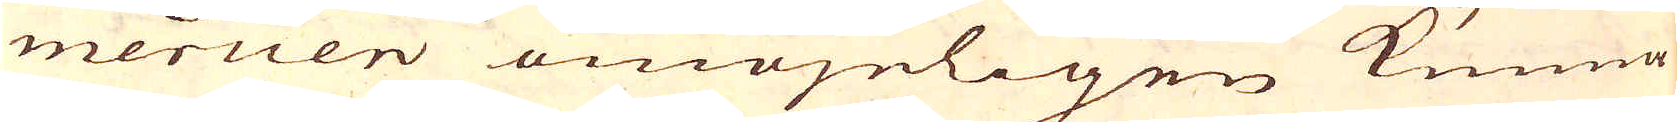mercien omöjeligen kunna
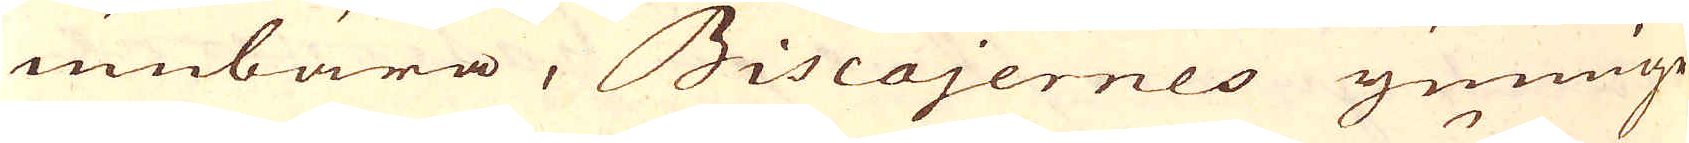umbära, Biscajernes ymnige
